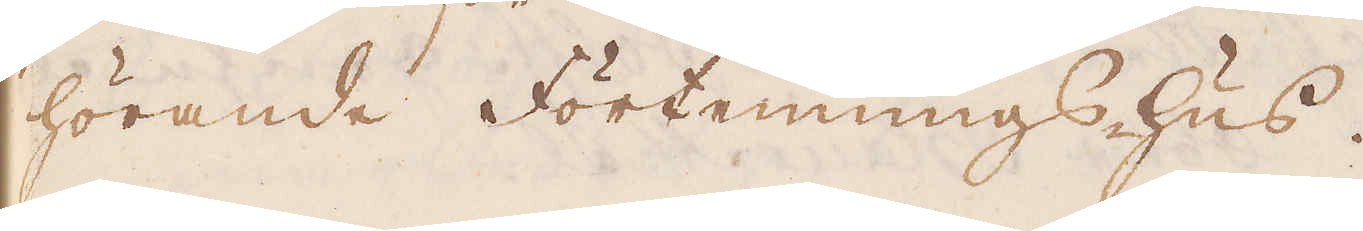hörande Förtennings-hus.
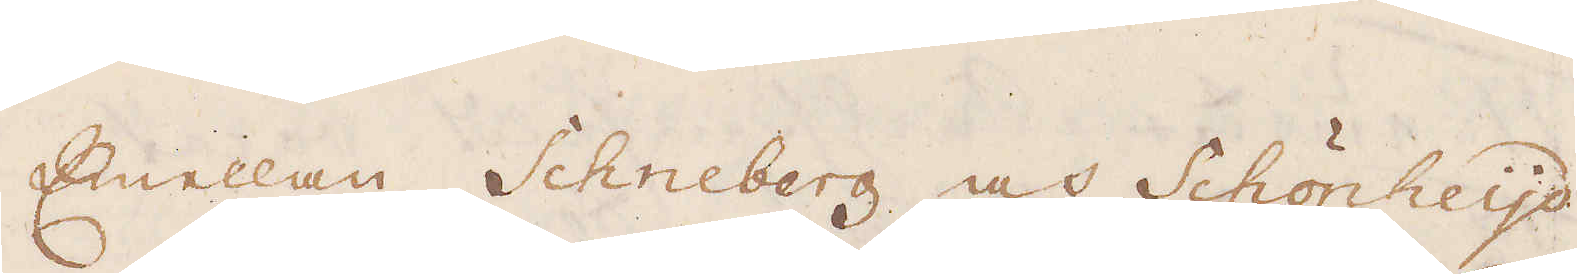Emellan Schneberg och Schönheijd
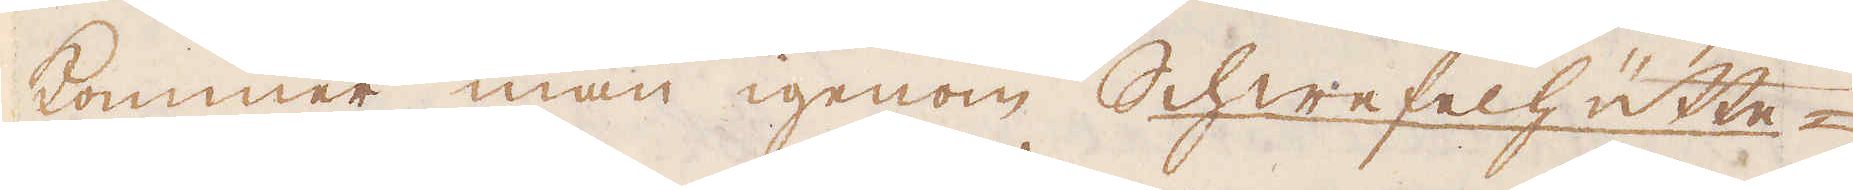kommer man igenom Schwefelhütte-
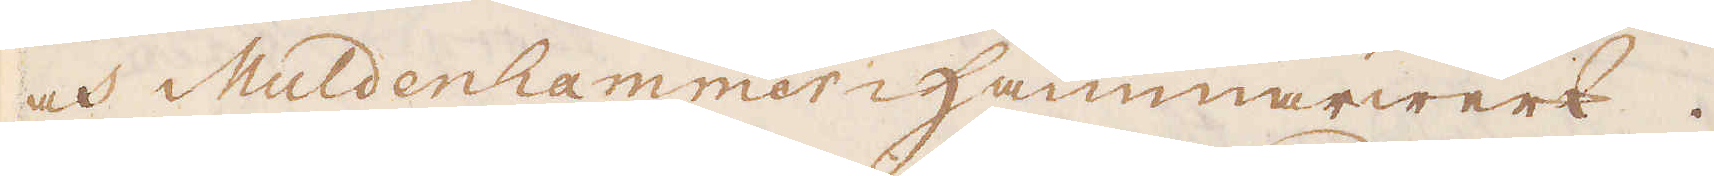och Muldenhammer-Hammarwerk.
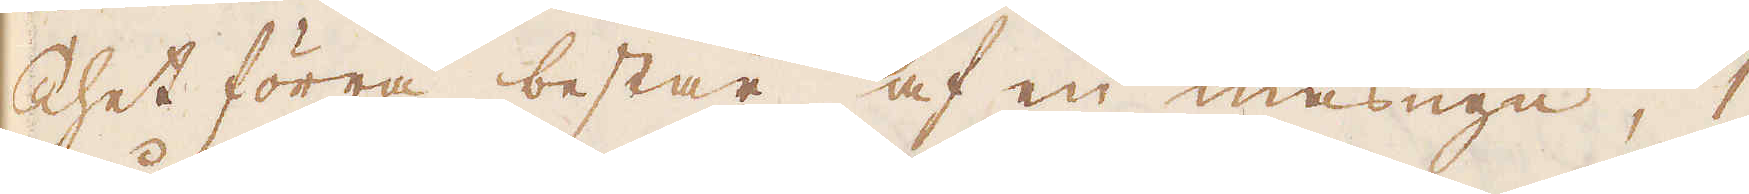Thet förra består af en masugn, 1
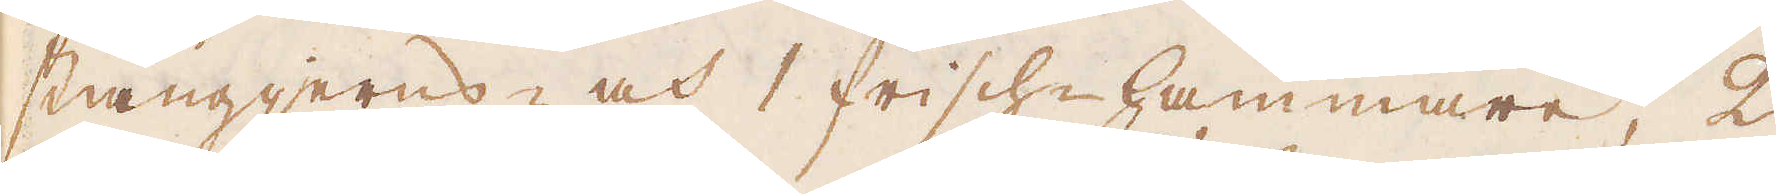stångjerns- och 1 frisch-hammare, 2
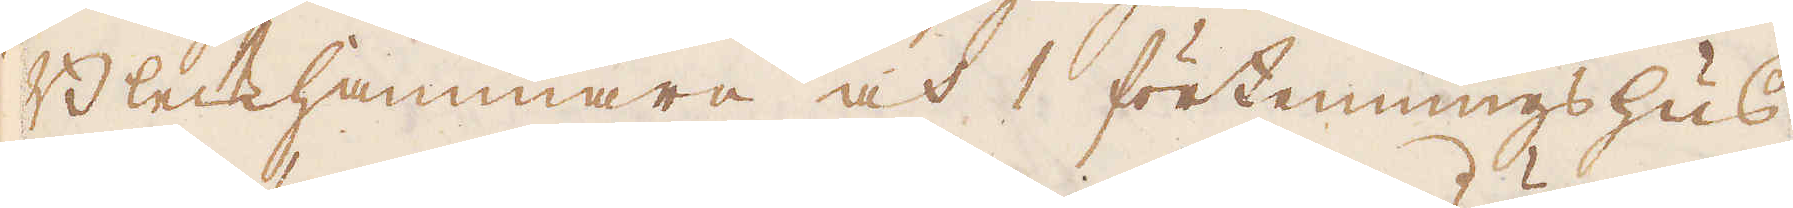Bleckhammare och 1 förtenningshus.
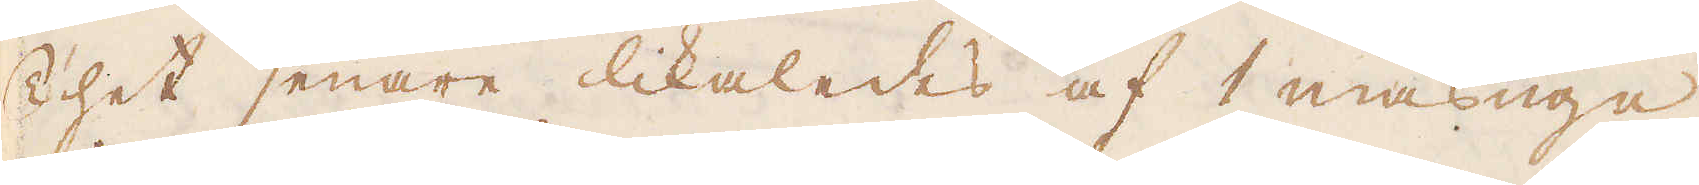Thet senare likaledes af 1 masugn,
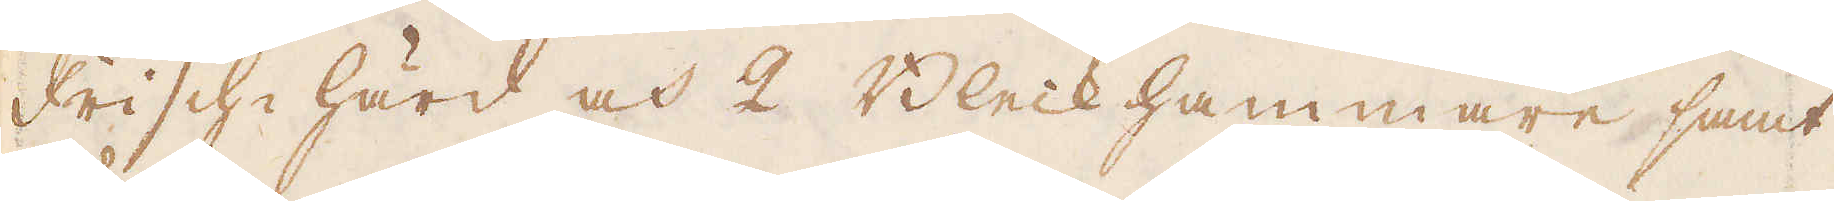Frisch-härd och 2 Bleck hammare samt
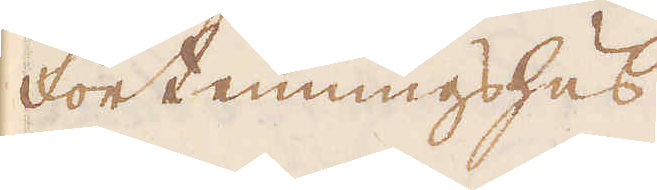Förtenningshus.
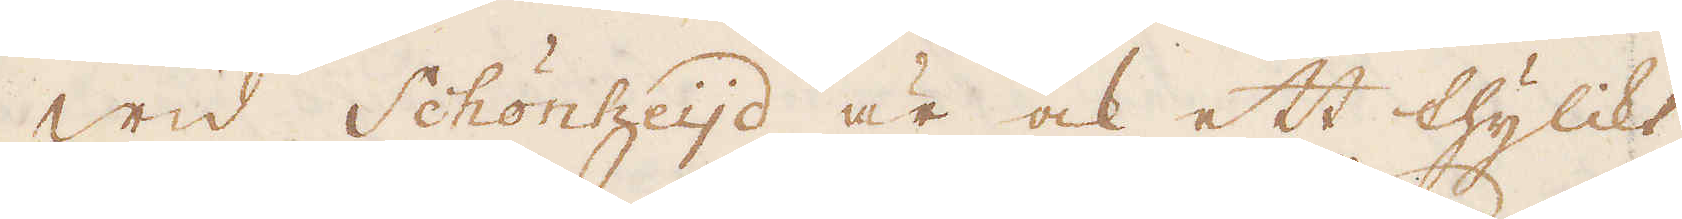Wid Schönheijd är ock ett thylikt
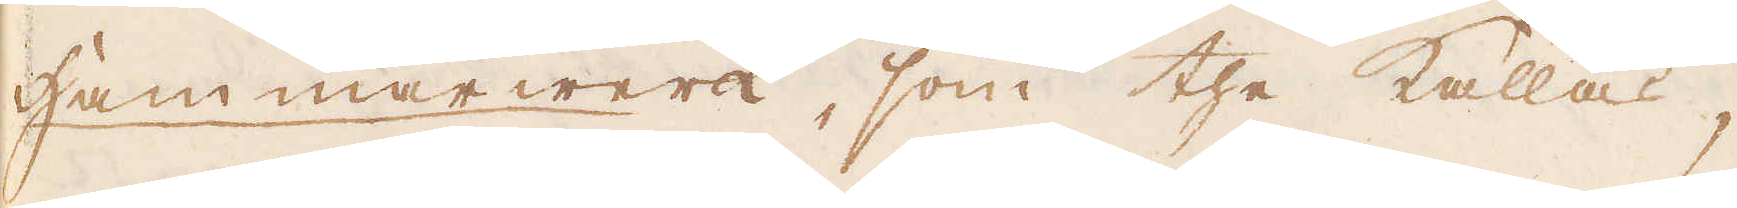Hammarwerk, som the kallas;
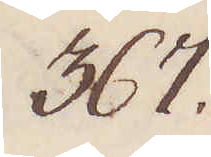367.
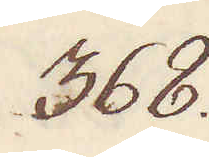368.
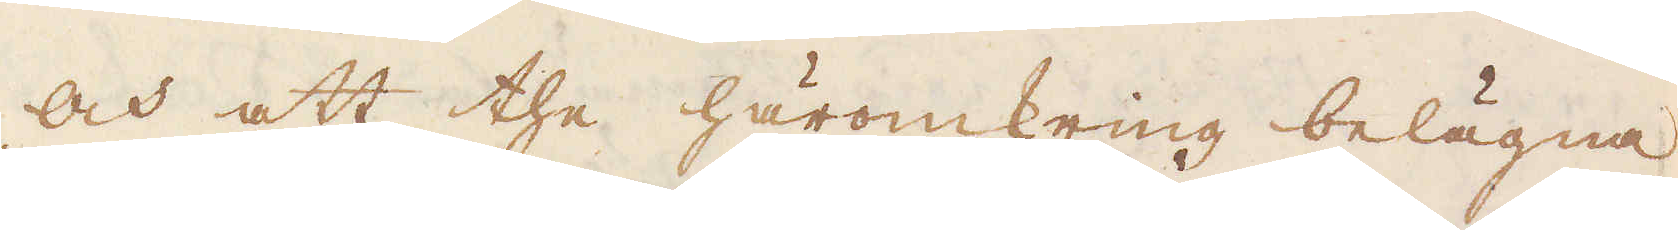och att the häromkring belägna
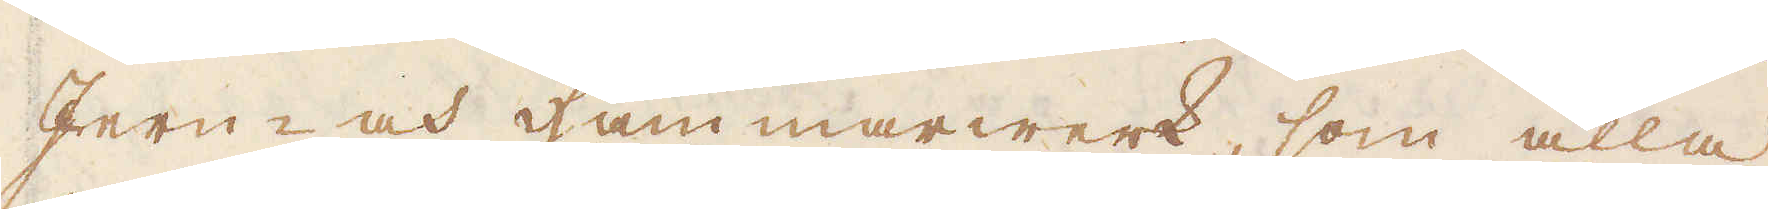Jern- och hammarwerk, som alla
